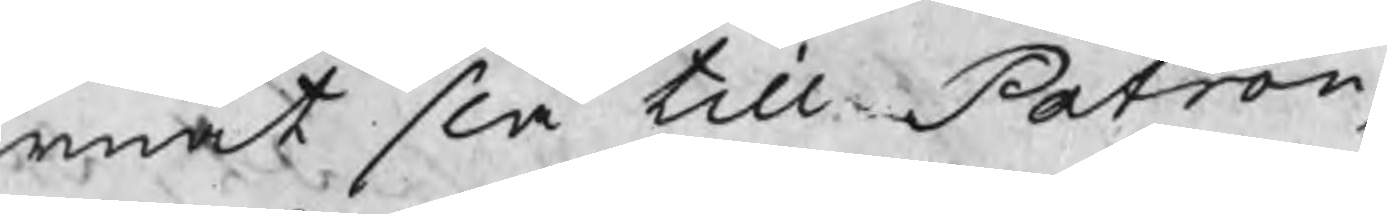rnat slå till Patron,
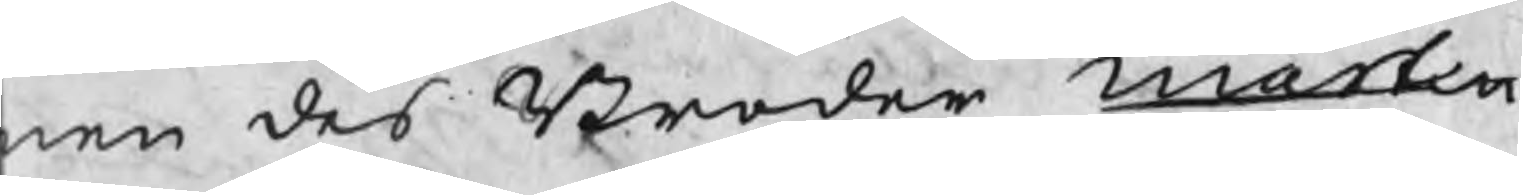en des Broder Martin
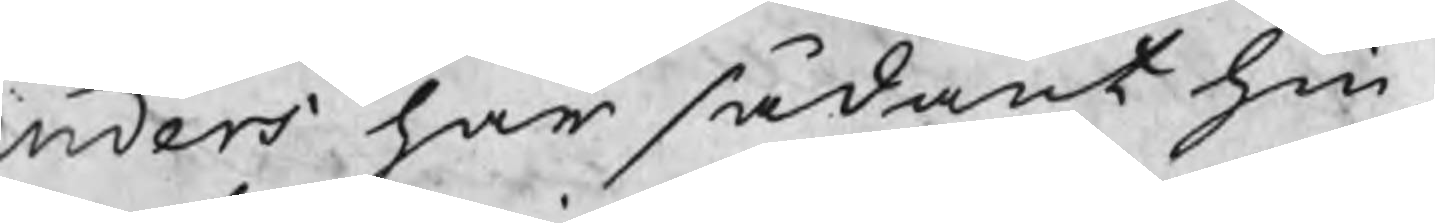nders har sådant hin¬
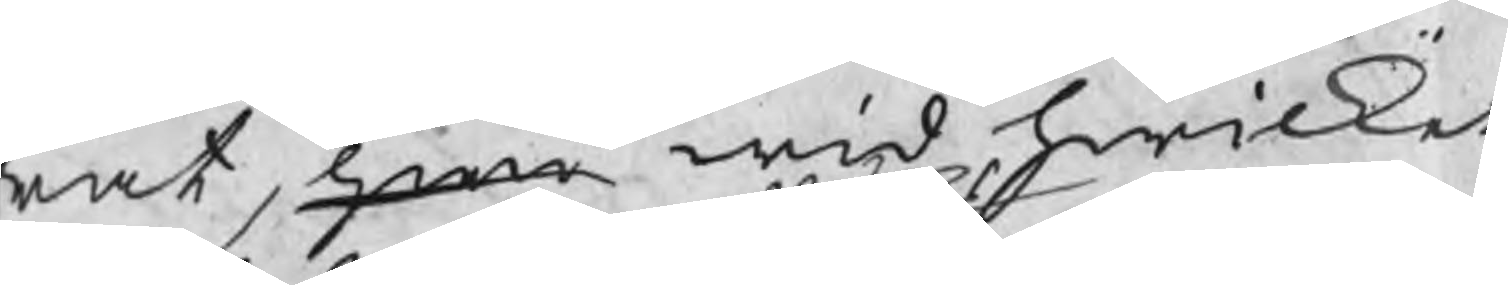rat hwi wid hwilket
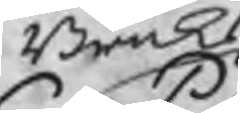Bruks
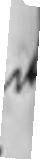om. sedan har han in
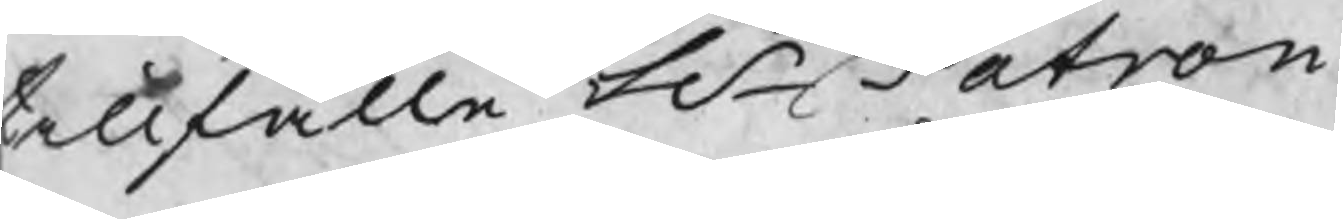tillfälle H Patron
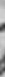hört om någon ordwäx¬
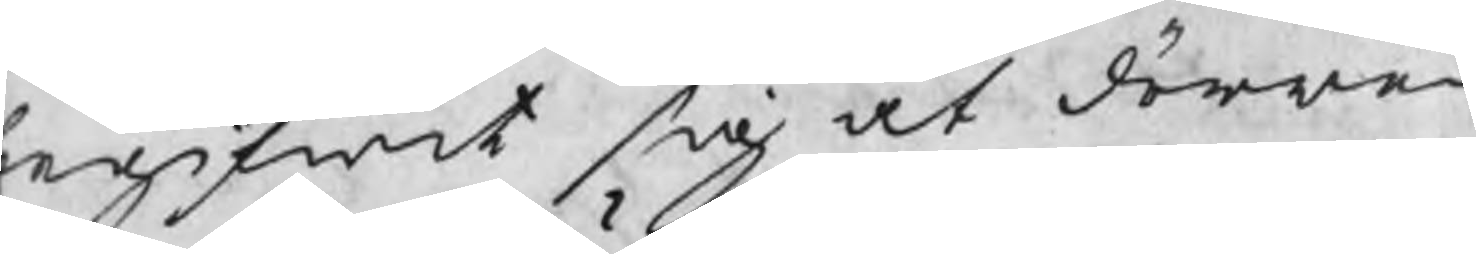egifwit sig åt dörren
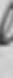ling warit dem emell
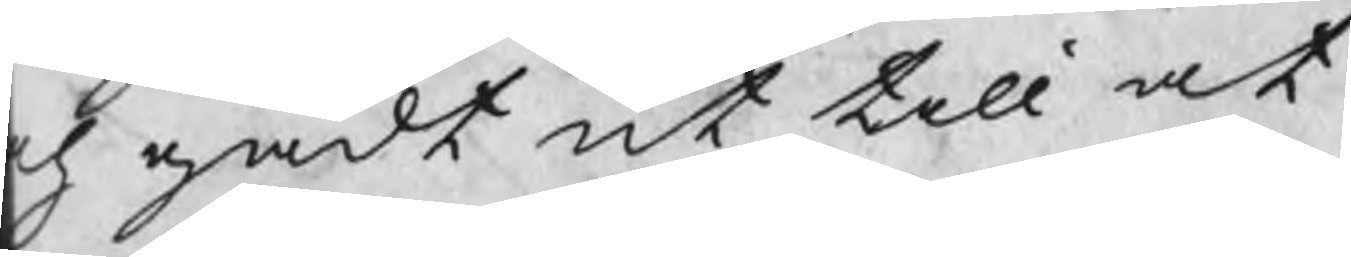ch gådt ut till at
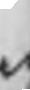eij heller sedt om de slag
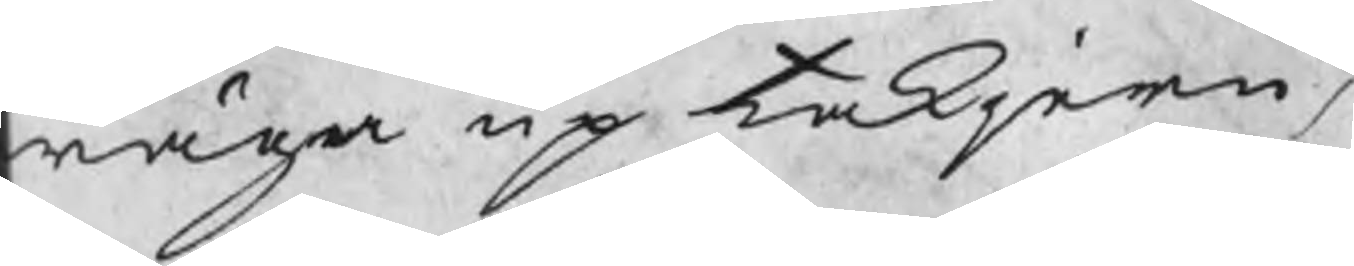wäga up takjern,
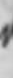allenast har blifwit w
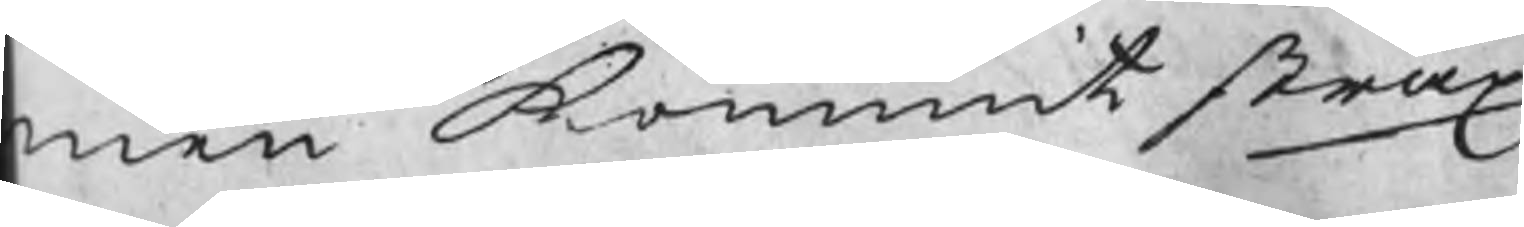men kommit strax
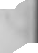se falle at falleij hållit
